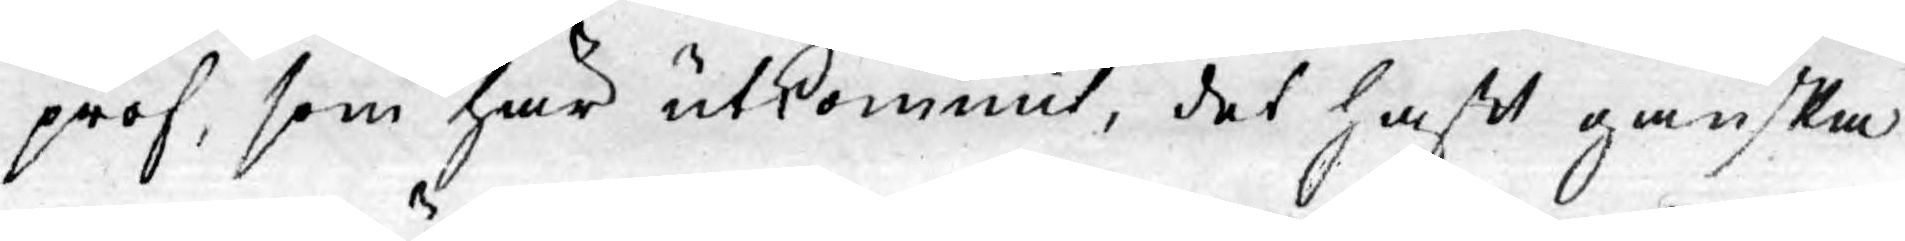prof, som här utkommit, det haft ganska
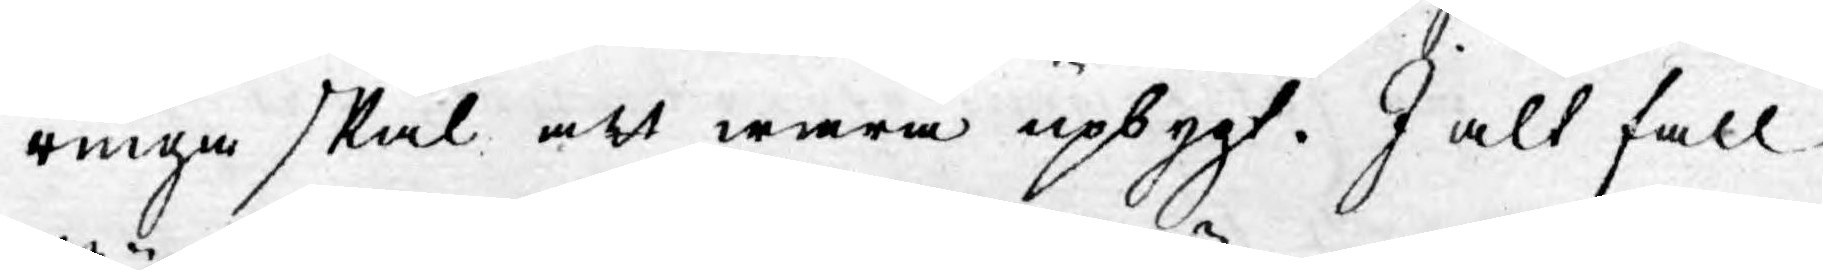ringa skäl att wara upbygt. I alt fall
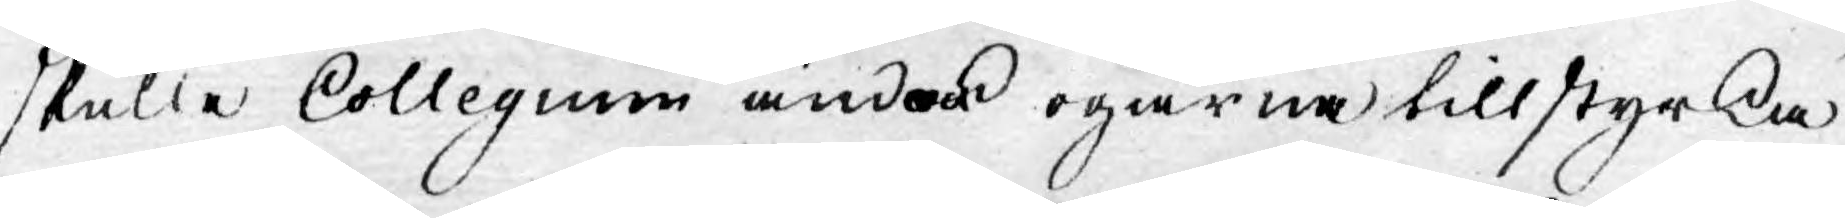skulle Collegium ändock ogärna tillstyrka
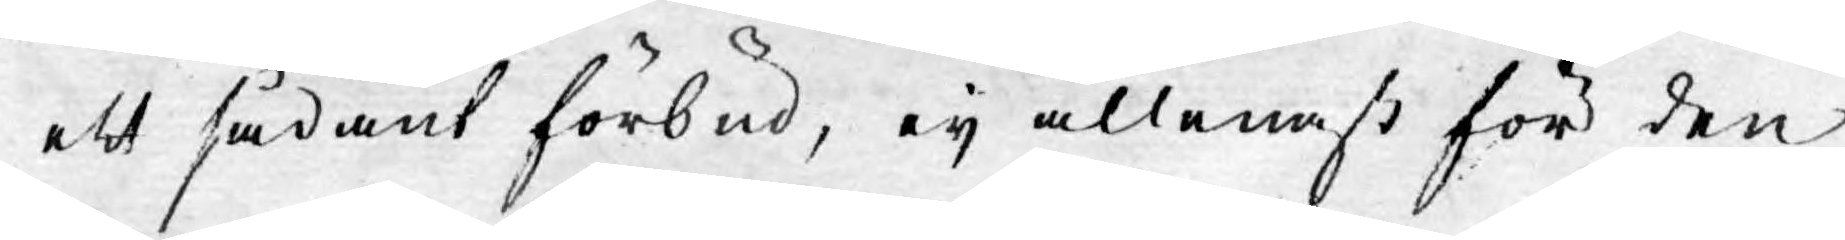ett sådant förbud, eij allenast för den
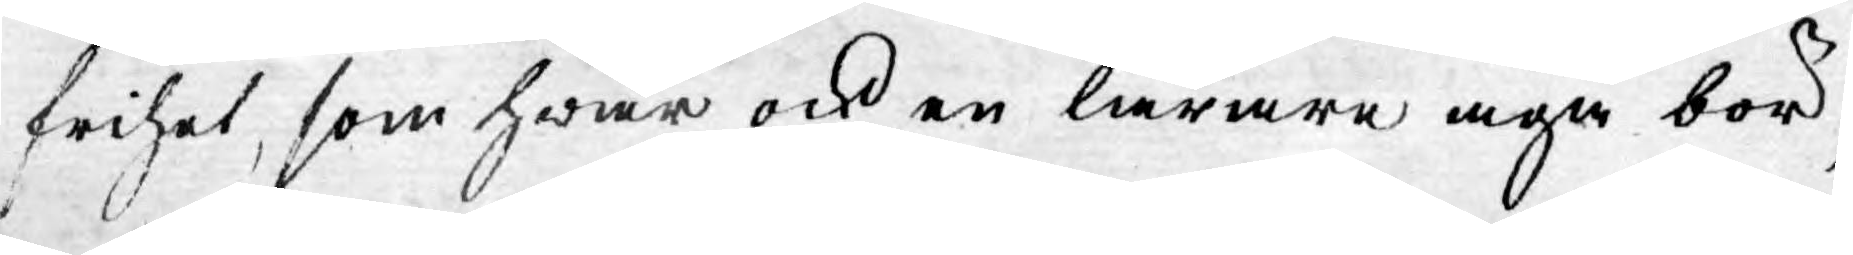frihet, som hwar ock en lärare äga bör,
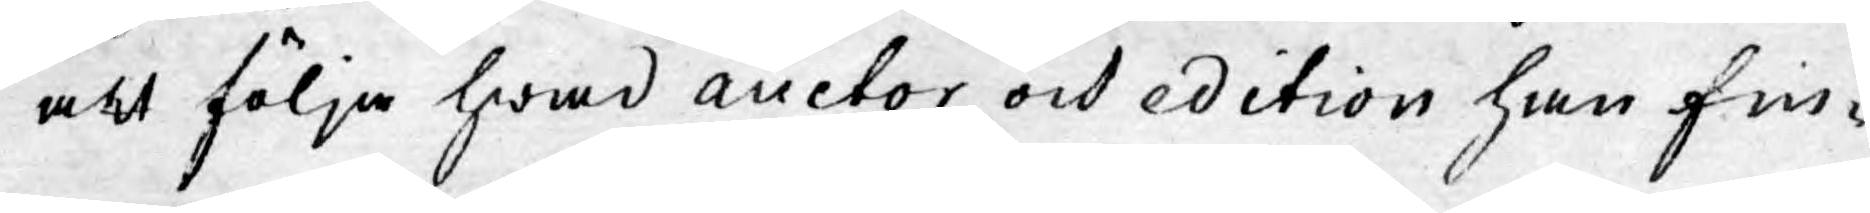att följa hwad auctor och edition han fin¬
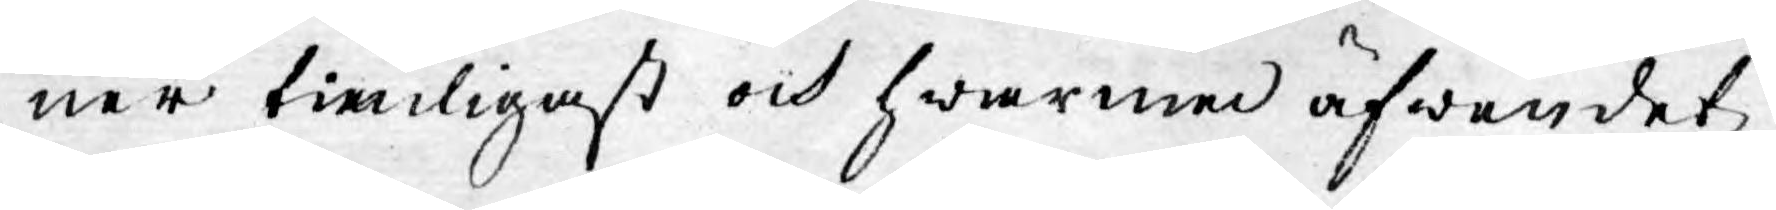ner tienligast och hwarmed äfwen det
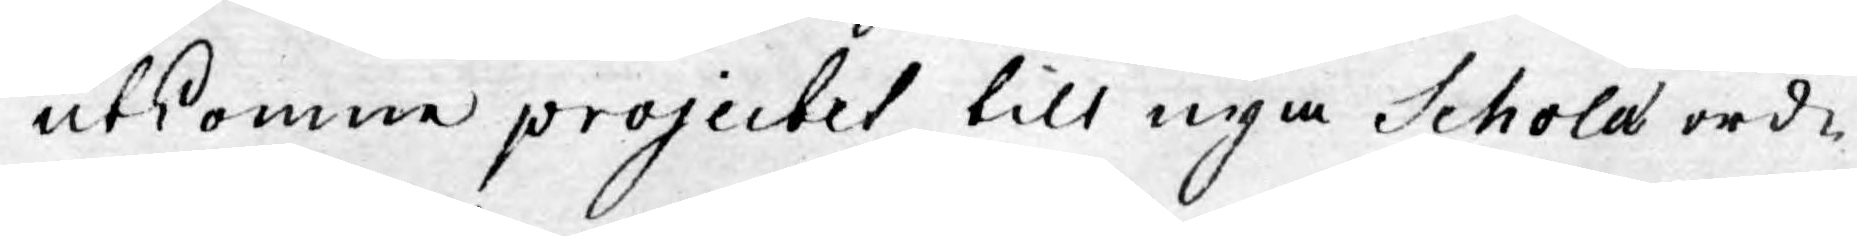utkomne projectet till nya Scholæ ord¬
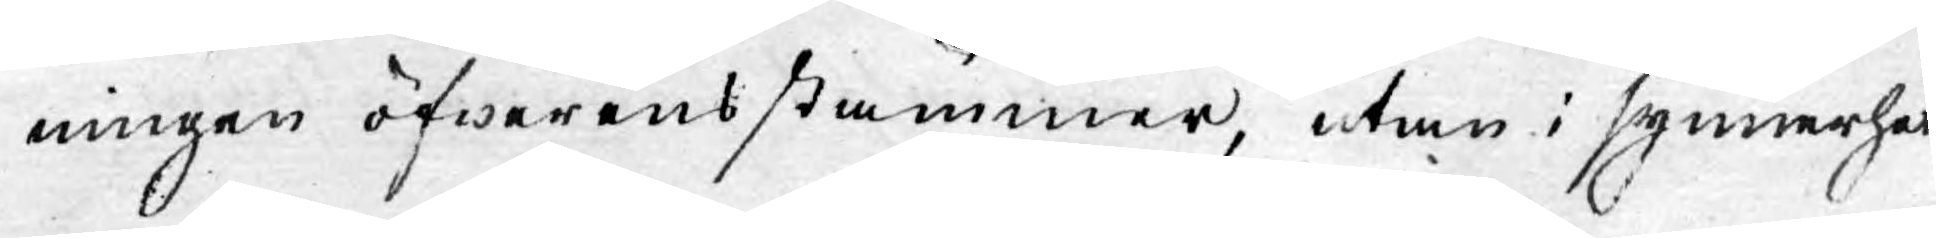ningen öfwerensstämmer, utan i synnerhet
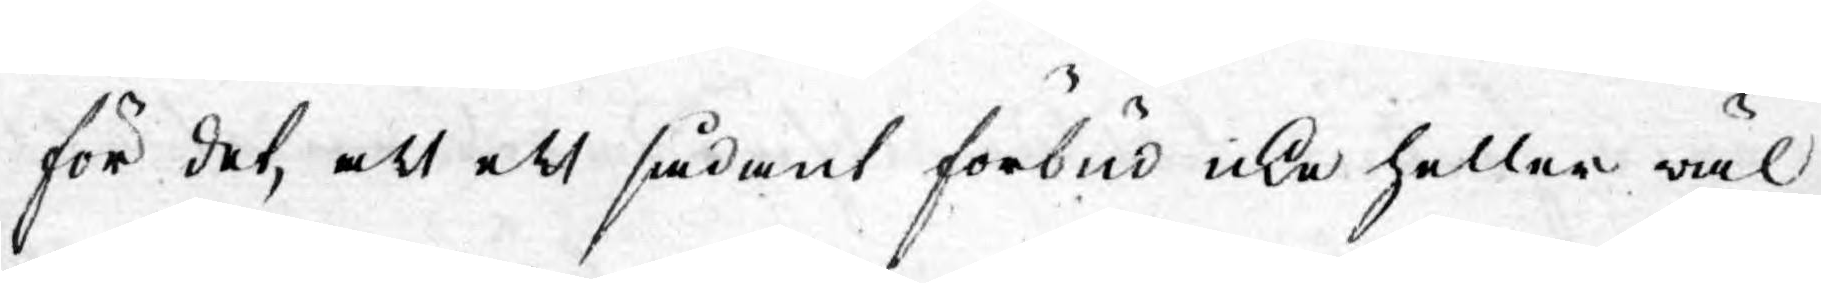för det, att ett sådant förbud icke heller wäl
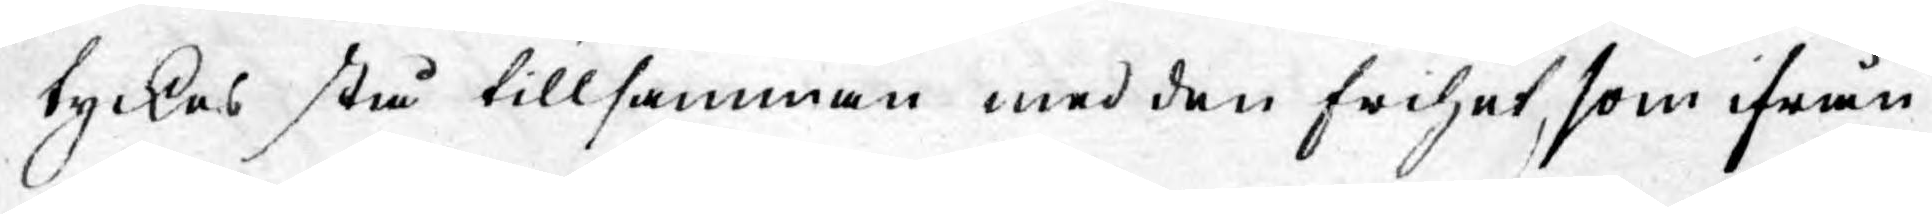tyckes stå tillsamman med den frihet, som ifrån
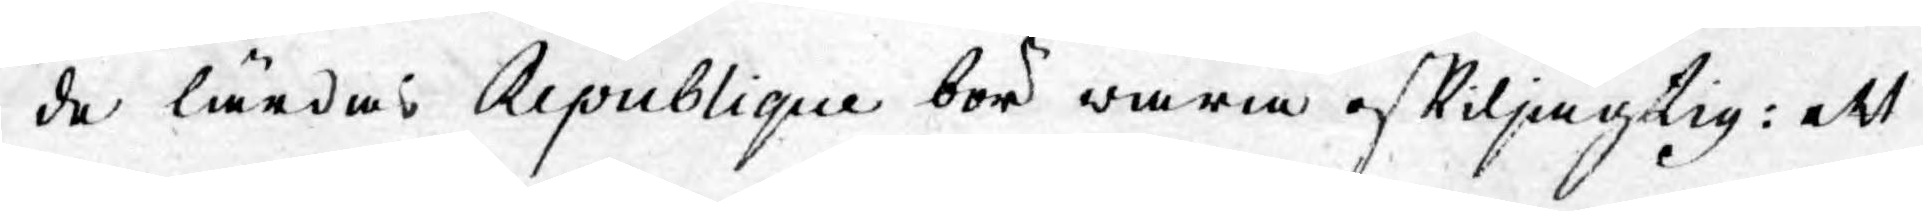de lärdas Republique bör wara oskiljagtig: ett
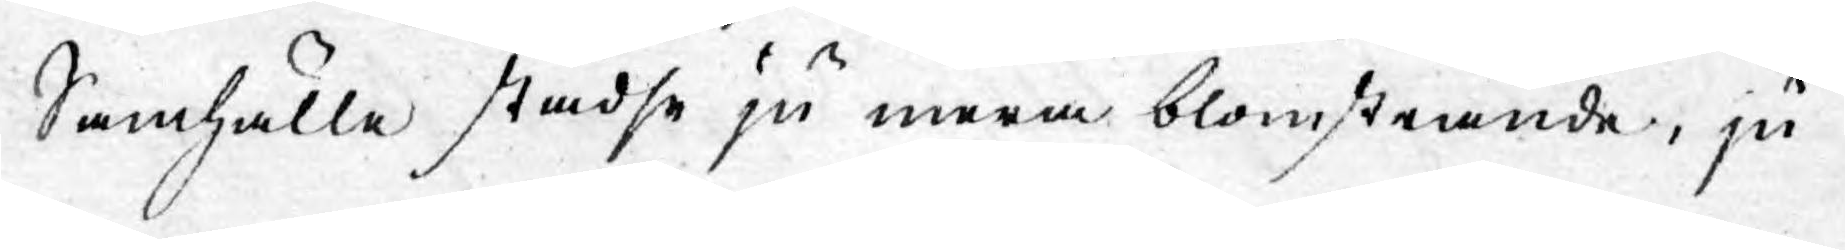Samhälle städse ju mera blomstrande, ju
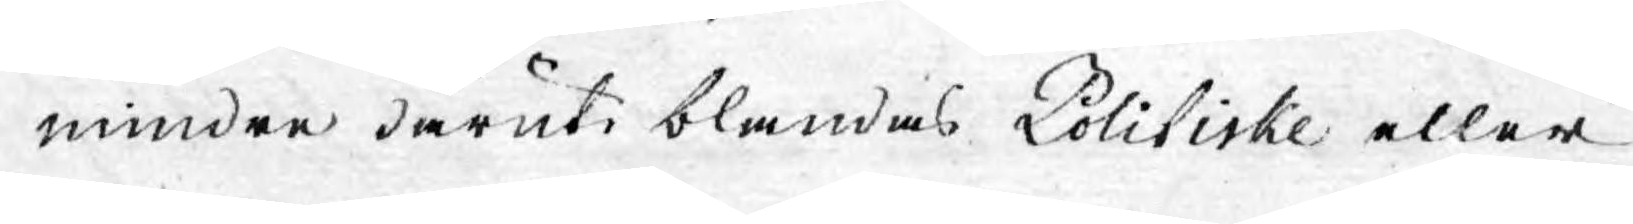mindre däruti blandas Politiske eller
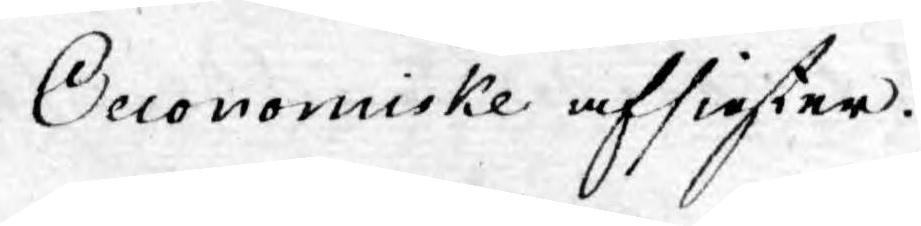Oeconomiske afsigster.
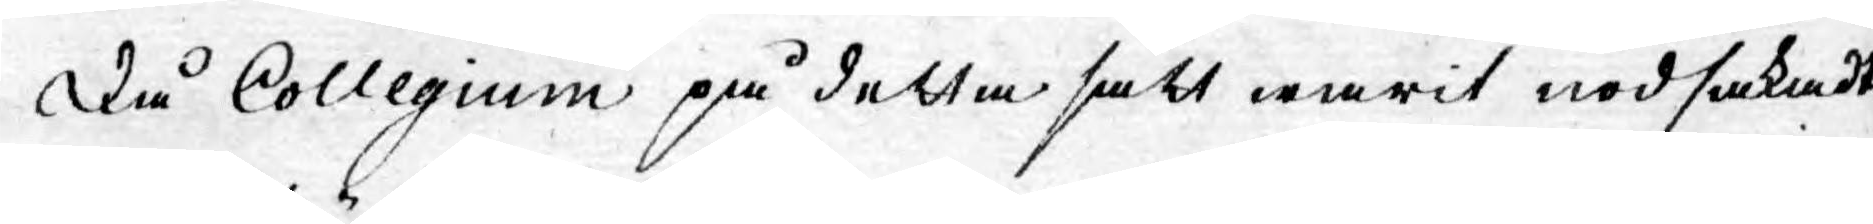Då Collegium på detta sätt warit nödsakadt
